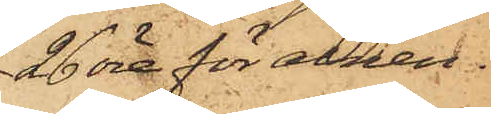26 öre för alnen.
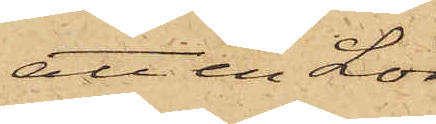att en Lör¬
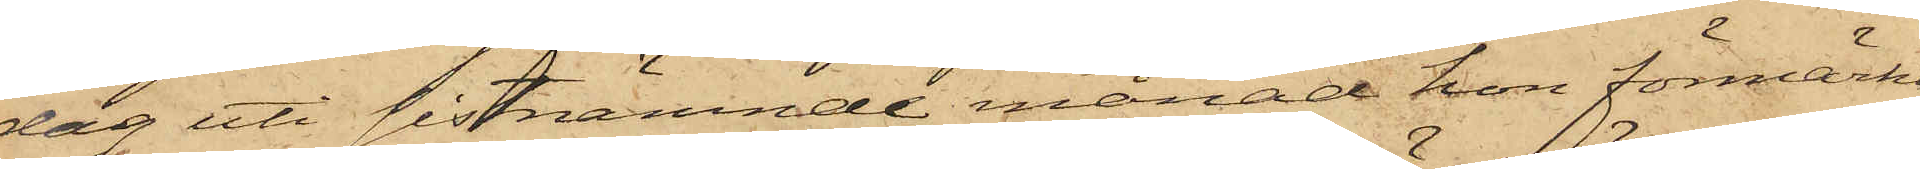dag uti sistnämnde månad hon förmärkt,
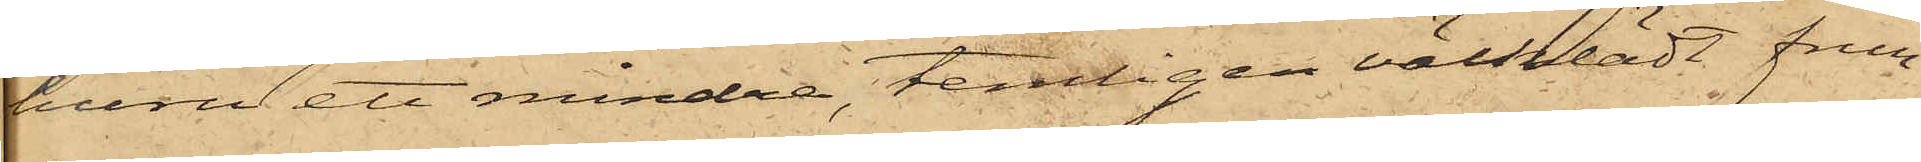huru ett mindre, temligen välklädt frun¬
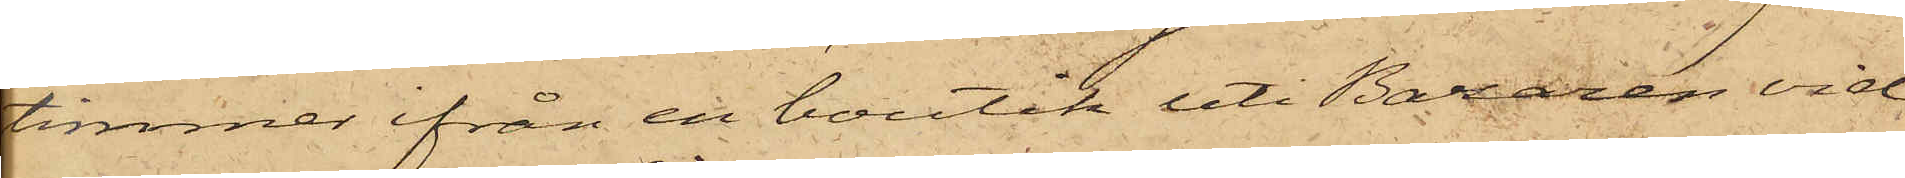timmer ifrån en boutik uti Bazaren vid
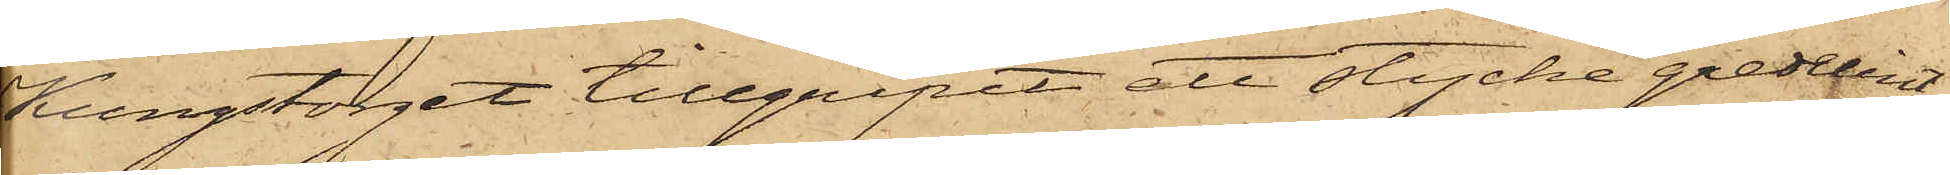Kungstorget tillgripit ett stycke gredelint
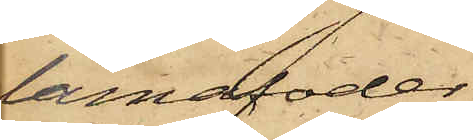lamafoder,
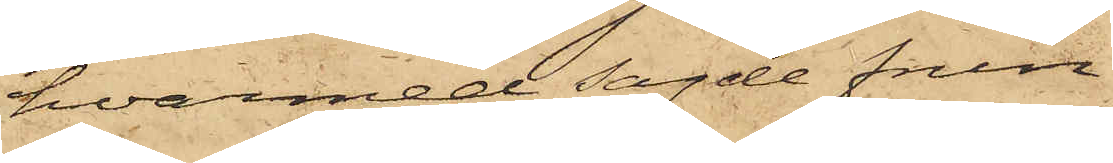hvarmed sagde frun¬
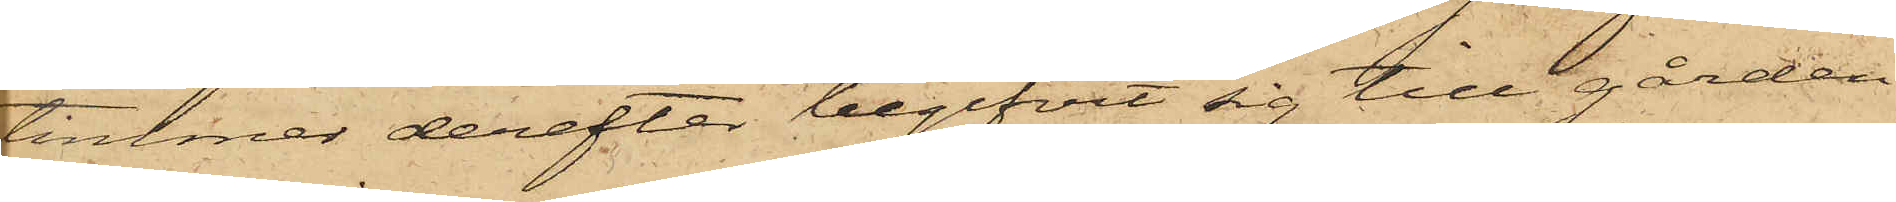timmer derefter begifvit sig till gården
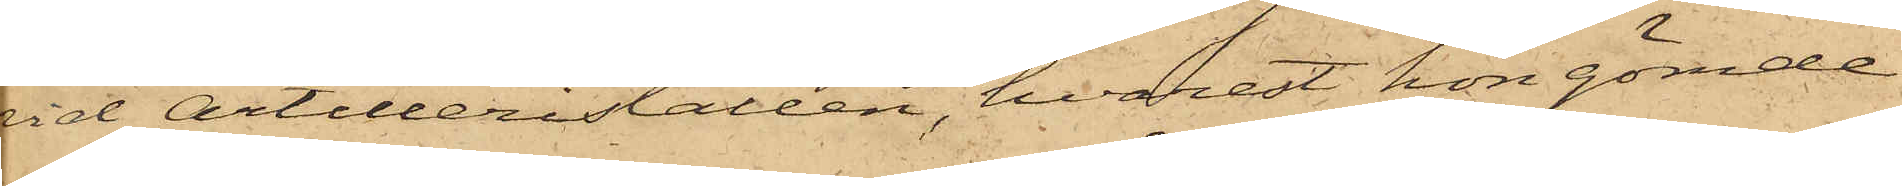vid Artilleristallen, hvarest hon gömde
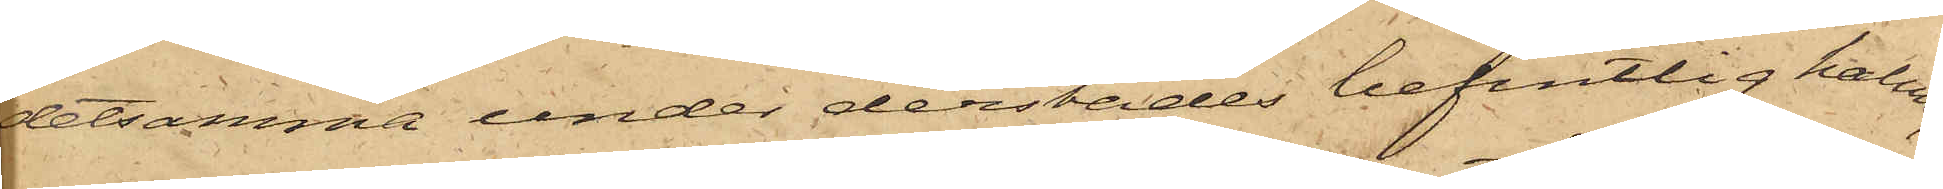detsamma under derstädes befintlig halm;
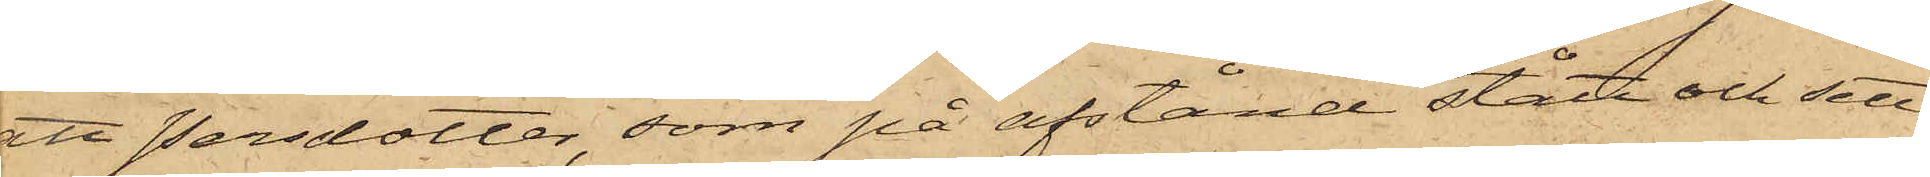att Persdotter, som på afstånd stått och sett
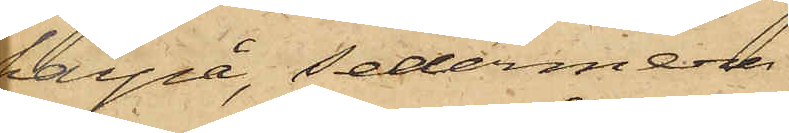härpå, sedermera
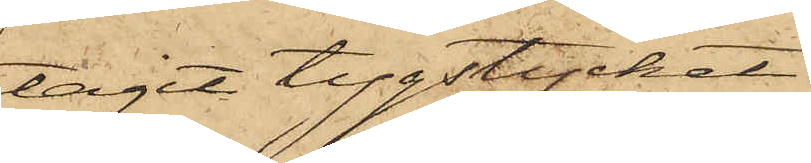tagit tygstycket
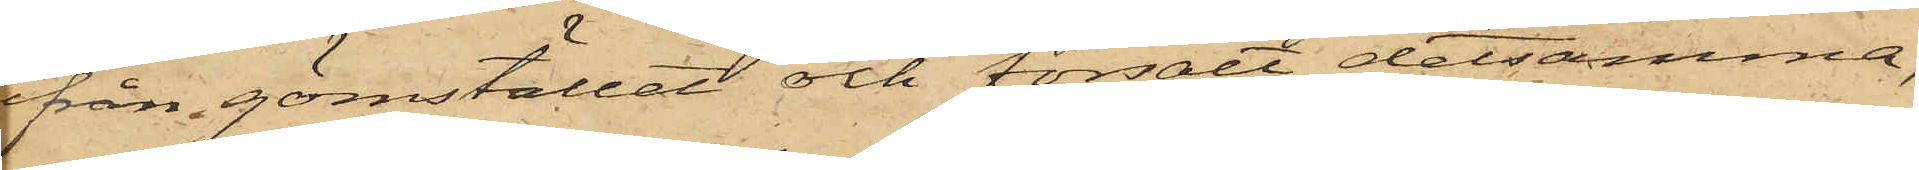från gömstället och försålt detsamma,
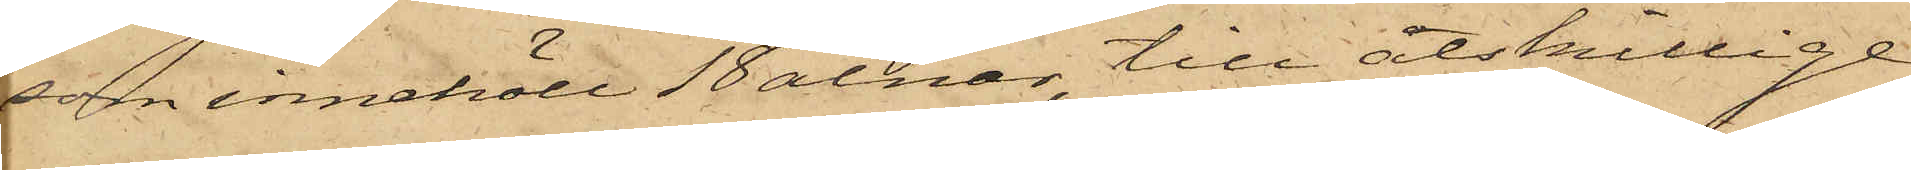som innehöll 18 alnar, till åtskillige
